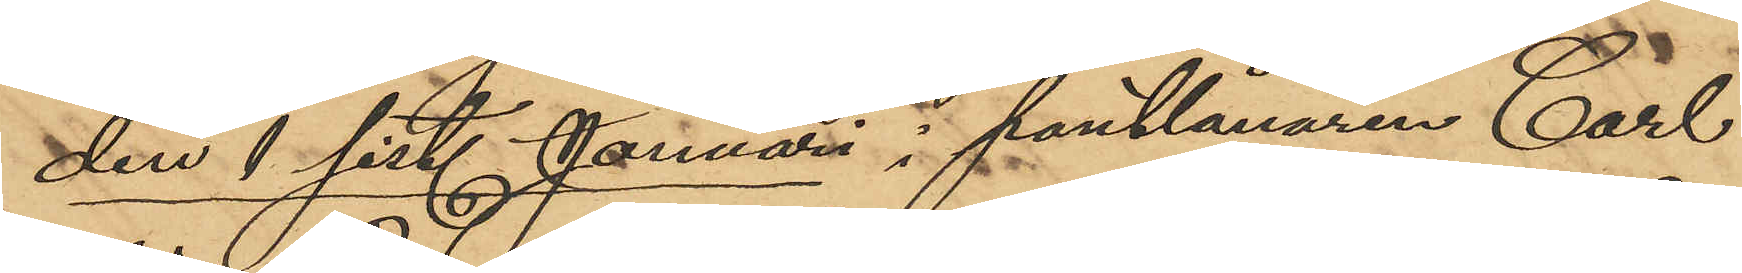den 1 sist. Januari i pantlånaren Carl
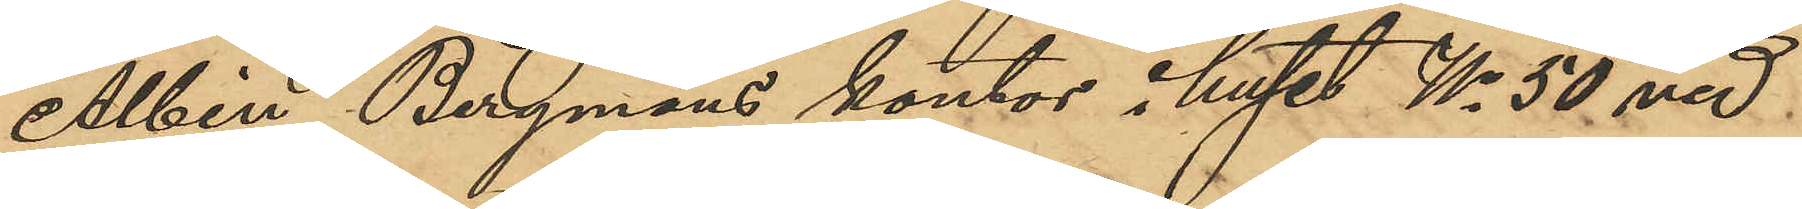Albin Bergmans kontor i huset No 50 vid
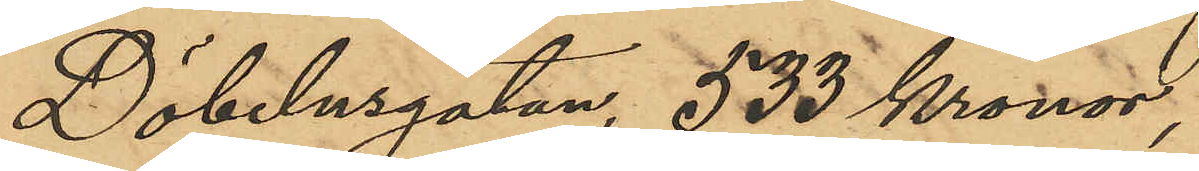Döbelnsgatan, 535 kronor,
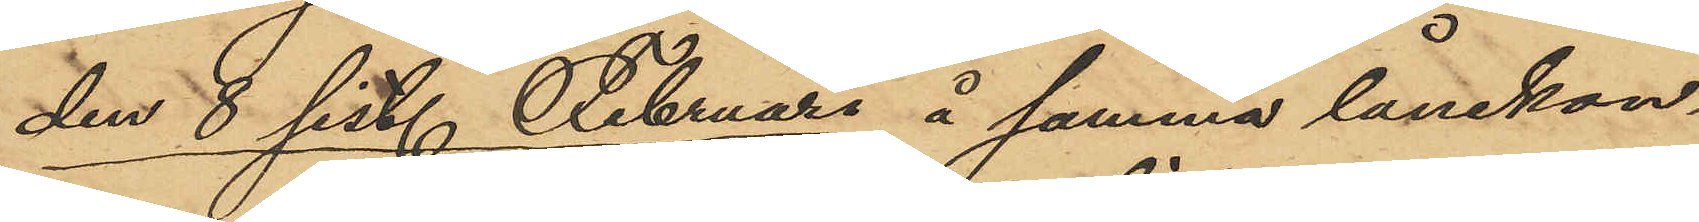den 8 sist. Februari å samma lånekon¬
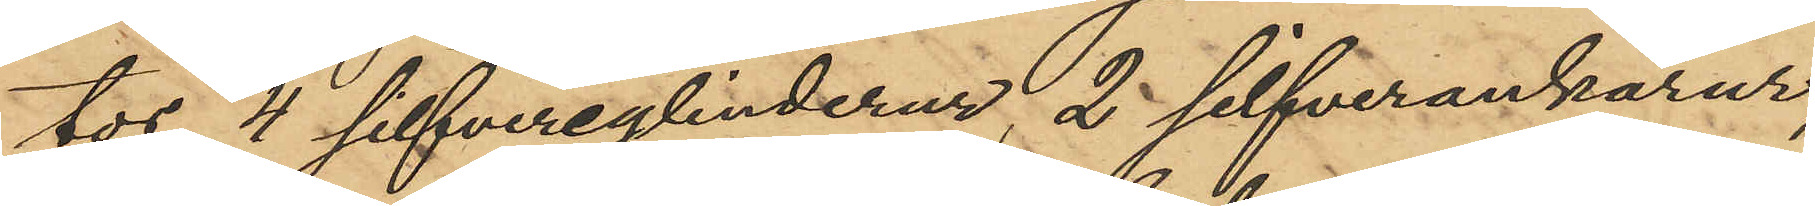tor, 4 silfvercylinderur, 2 silfverankarur,
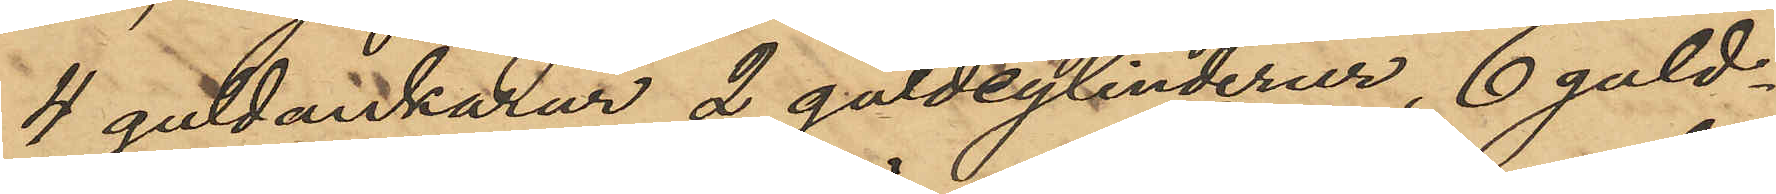4 guldankarur, 2 guldcylinderur, 6 guld¬
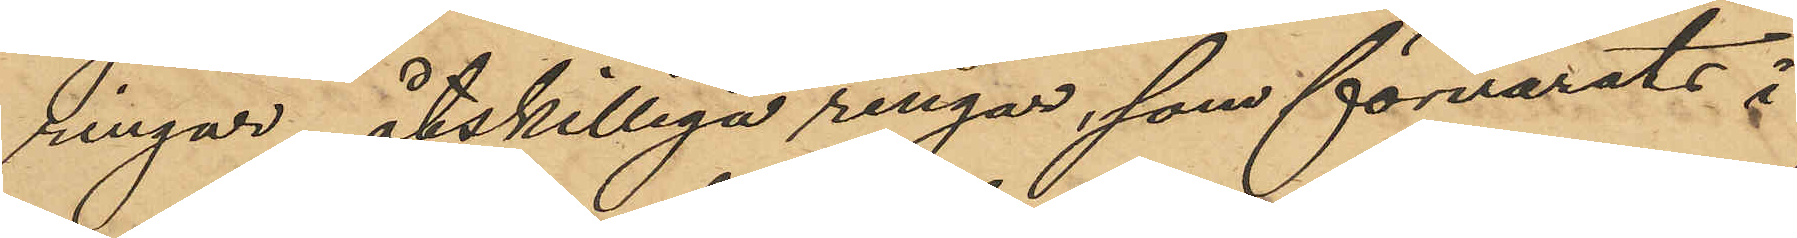ringar, åtskilliga ringar, som förvarats i
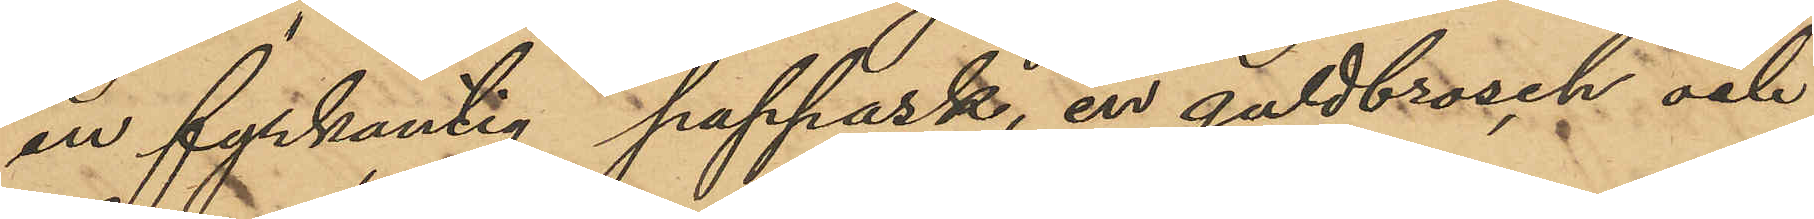en fyrkantig pappask, en guldbrosch och
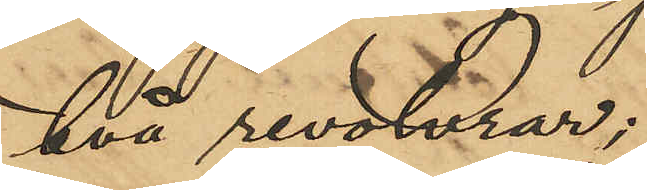två revolvrar;
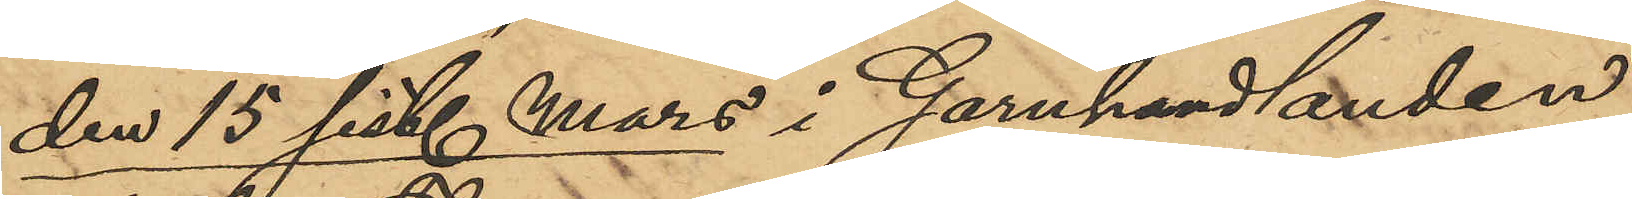den 15 sist. Mars i Garnhandlanden
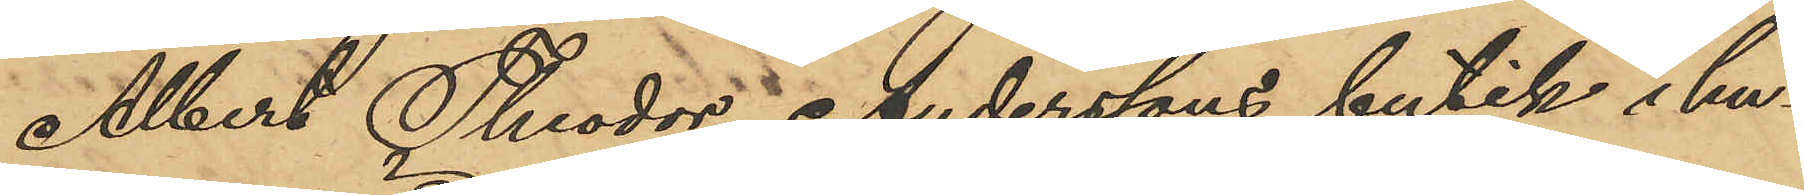Albert Theodor Anderssons butik i hu¬
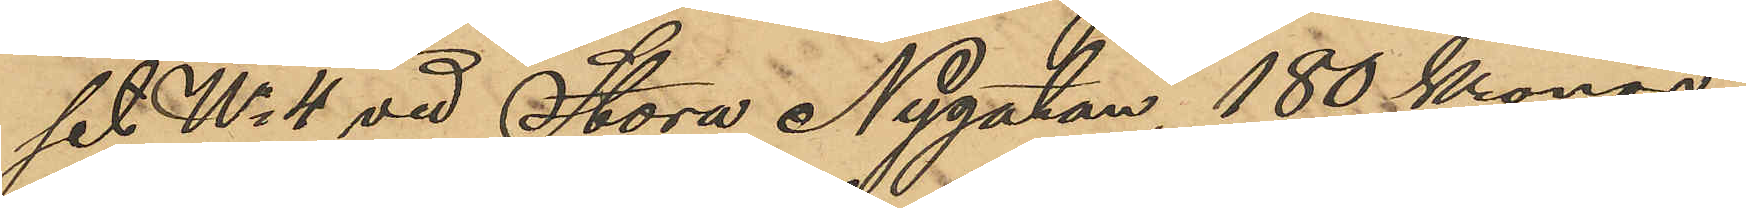set No 4 vid Stora Nygatan, 180 Kronor;
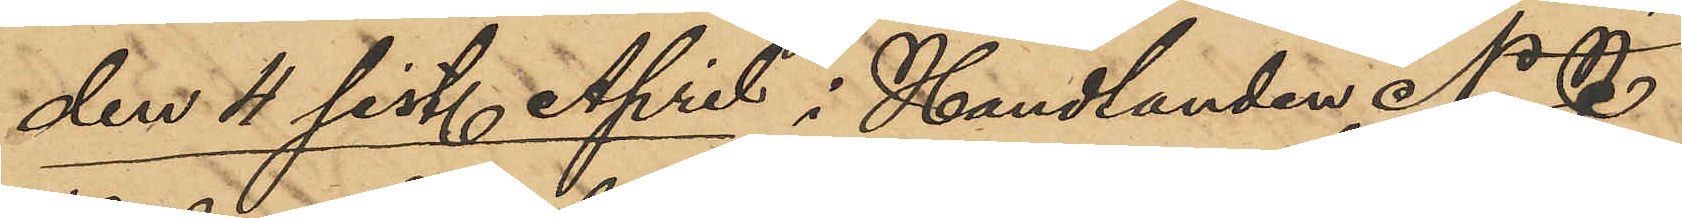den 4 sist. April i Handlanden N.J.
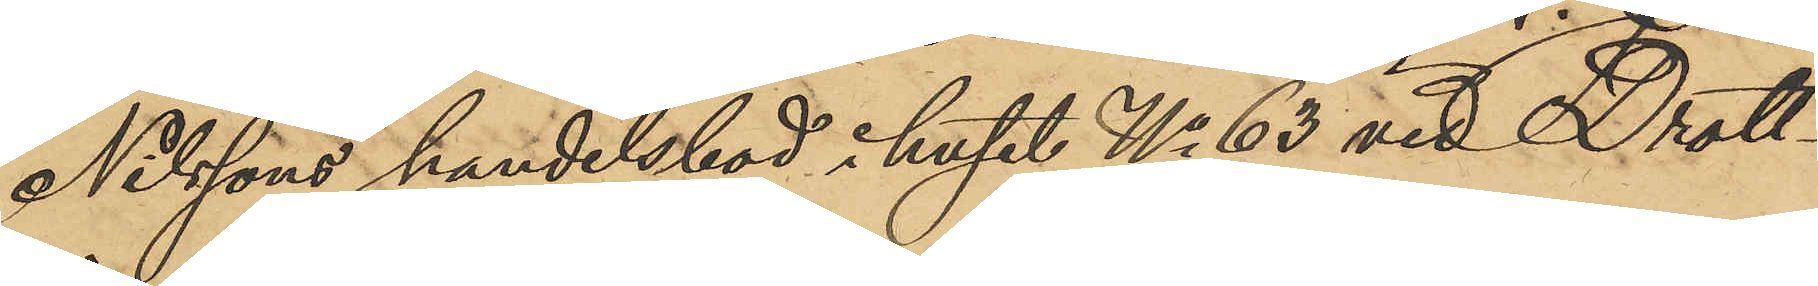Nilssons handelsbod i huset No 63 vid Drott¬
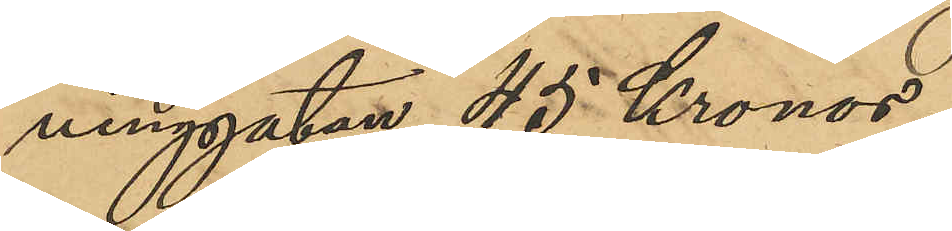ninggatan, 45 Kronor;
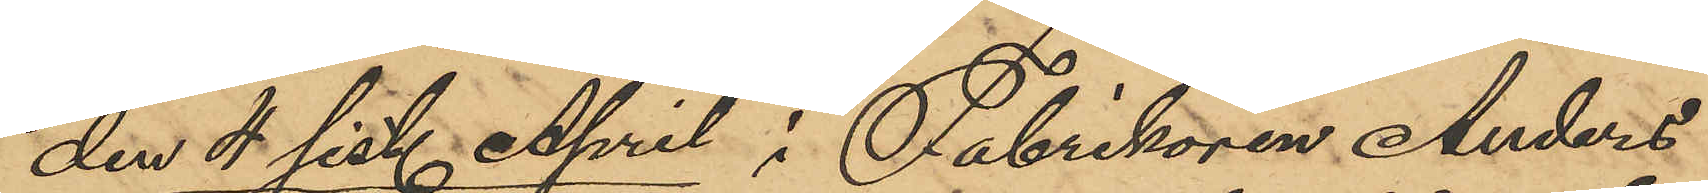den 4 sist. April i Fabrikören Anders
